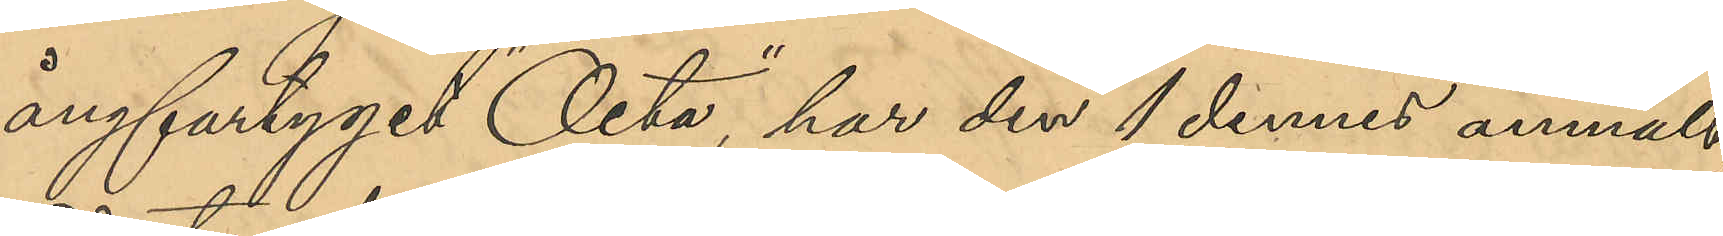ångfartyget " Octa", har den 1 dennes anmält
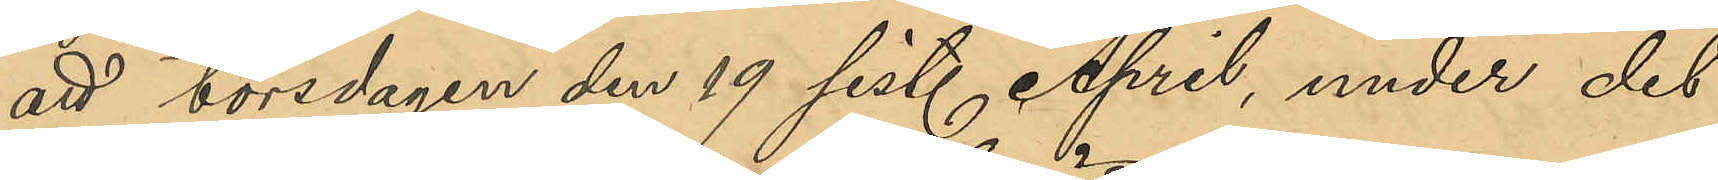att torsdagen den 19 sist. April, under det
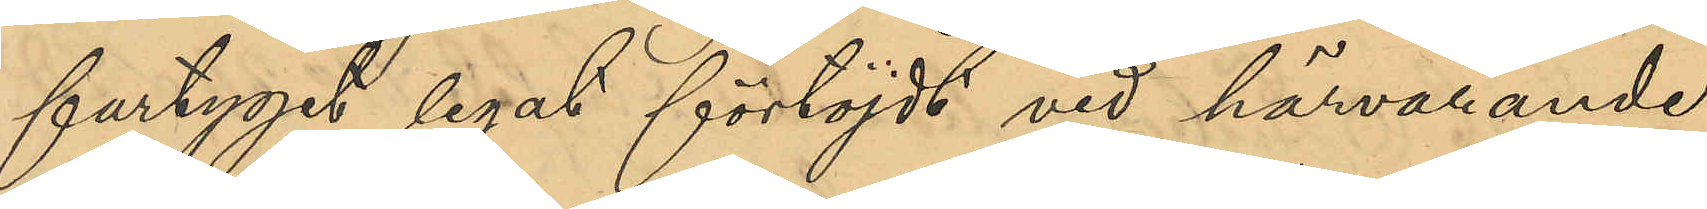fartyget legat förtöjdt vid härvarande
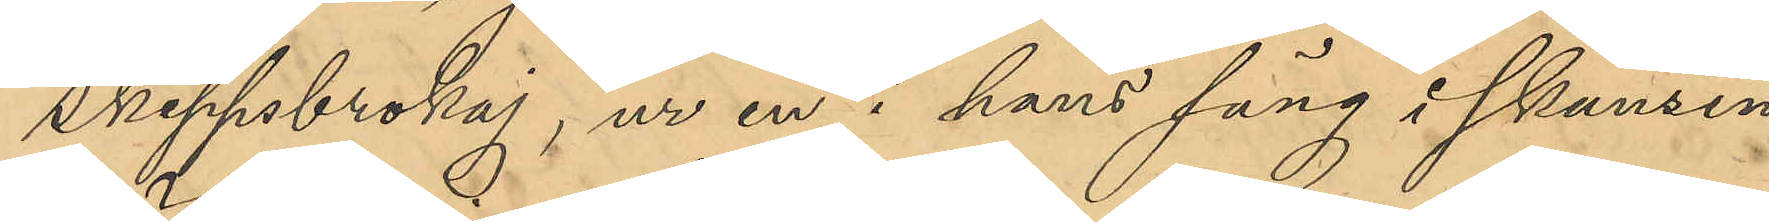Skeppsbrokaj, ur en i hans säng i skansen
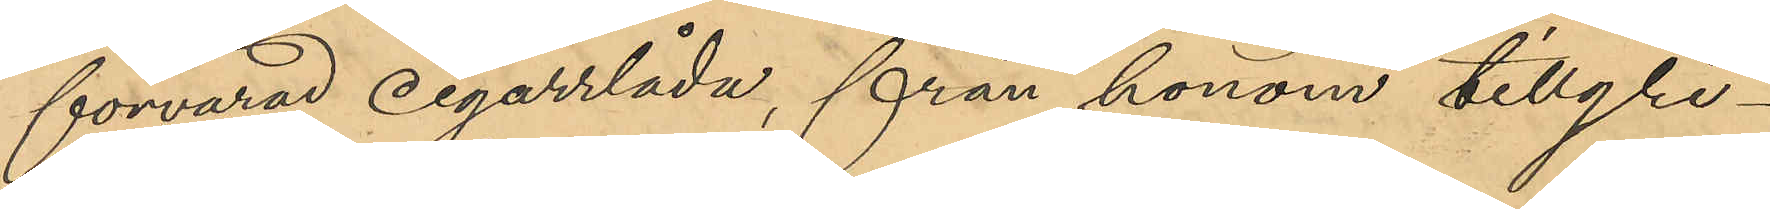förvarad cigarrlåda, från honom tillgri¬
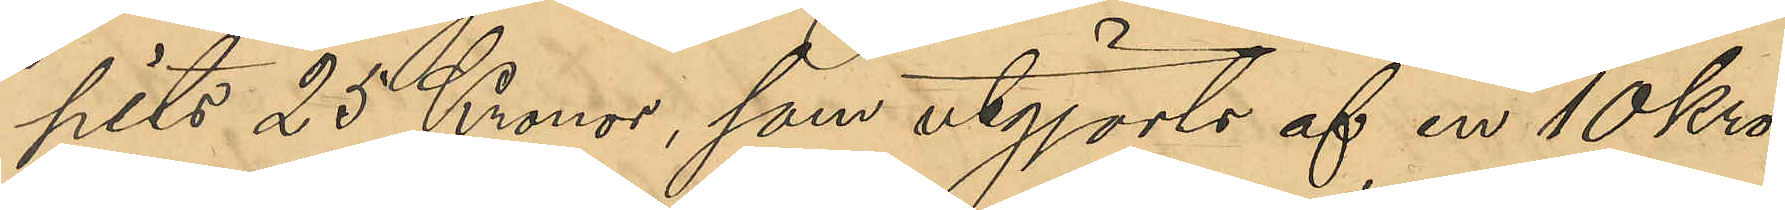pits 25 Kronor, som utgjorts af en 10kro¬
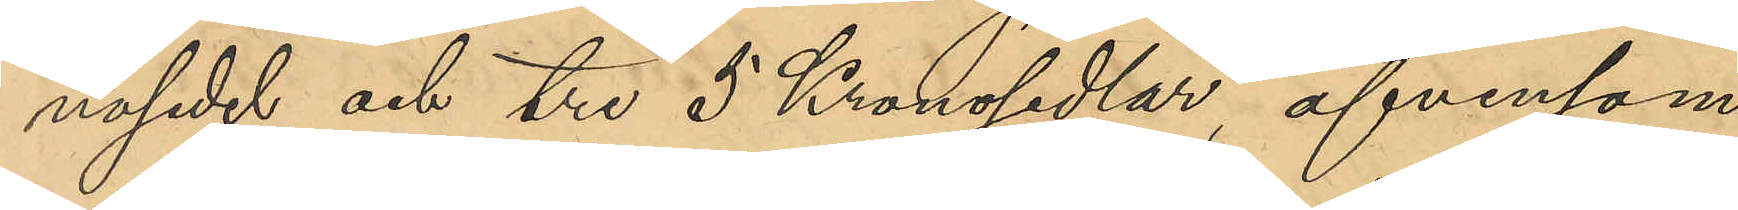nosedel och tre 5 Kronosedlar, äfvensom
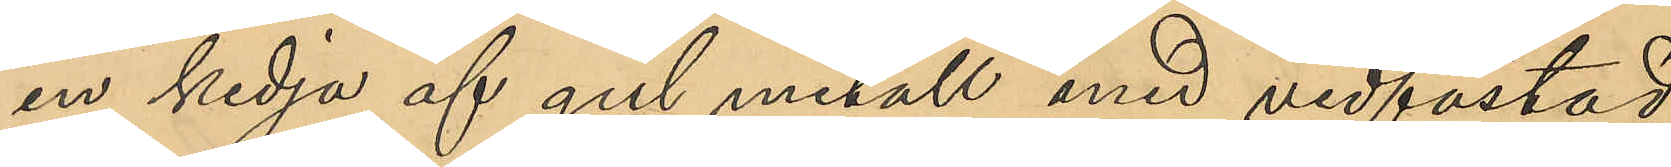en kedja af gul metall med vidfästad
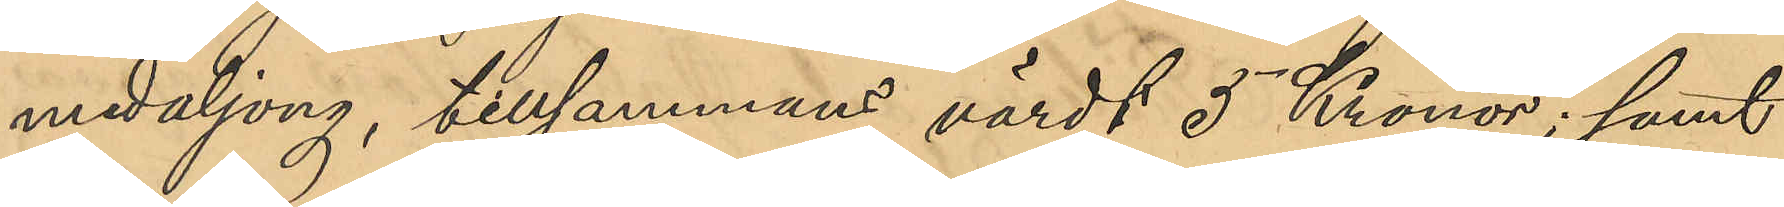medaljong, tillsammans värdt 5 Kronor; samt
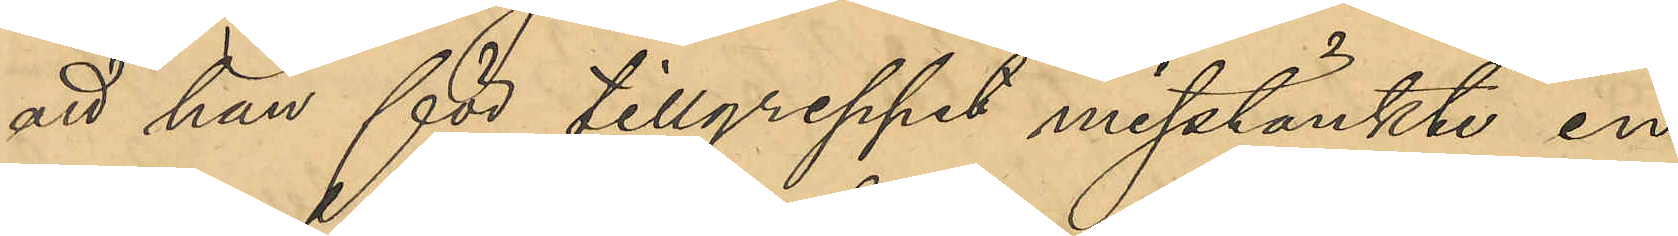att han för tillgreppet misstänkte en
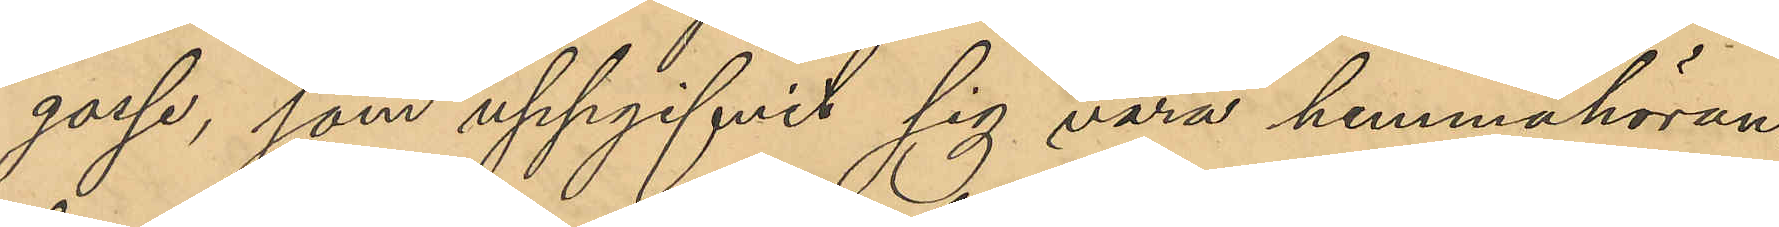gosse, som uppgifvit sig vara hemmahöran¬
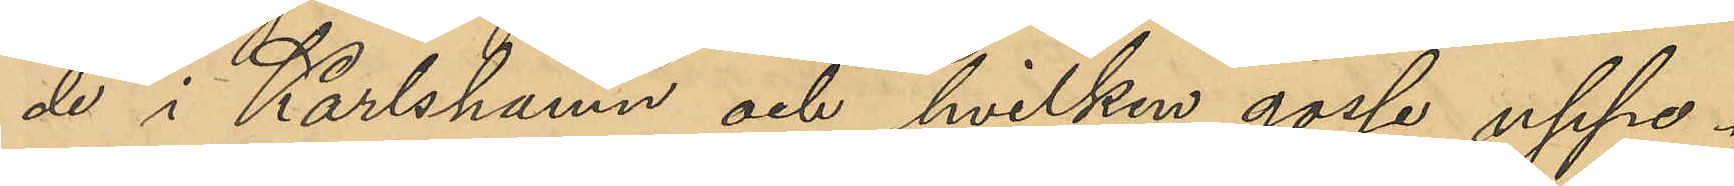de i Karlshamn och hvilken gosse uppe¬
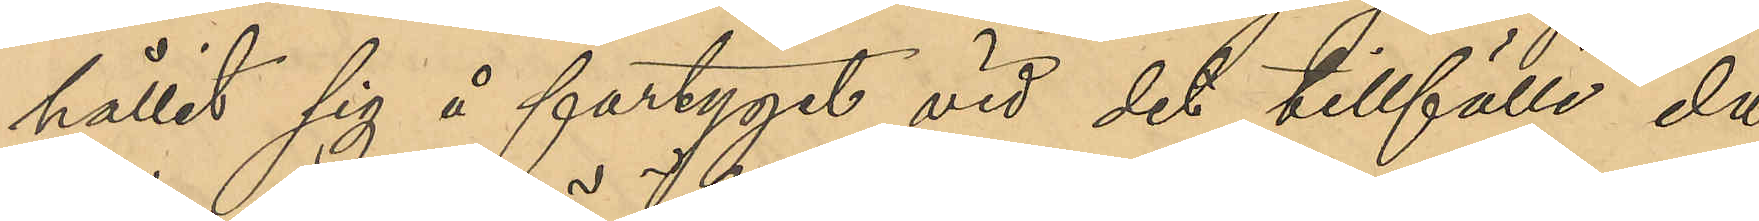hållit sig å fartyget vid det tillfälle då
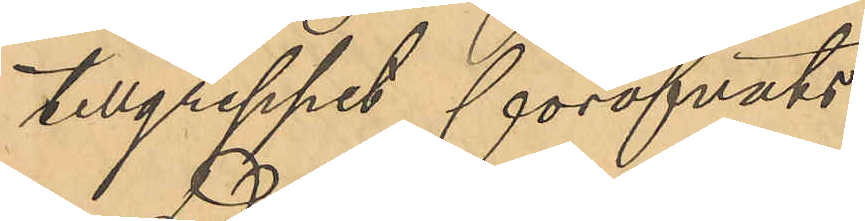tillgreppet föröfvats.
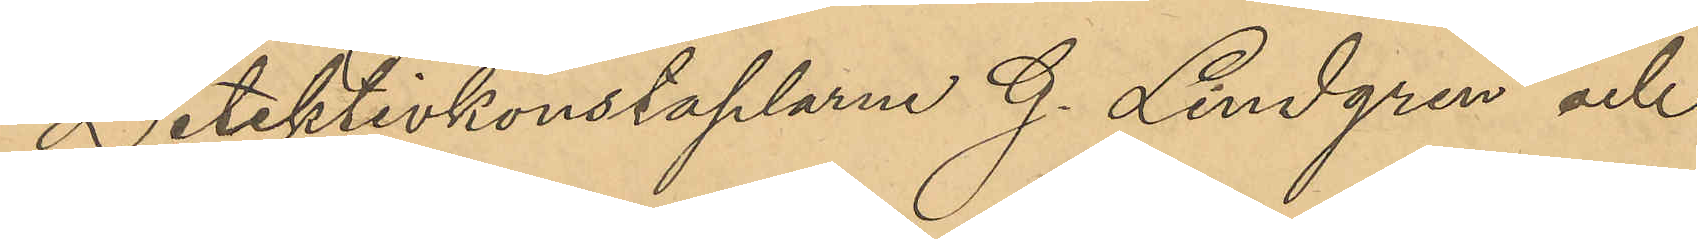Detektivkonstaplarne G. Lindgren och
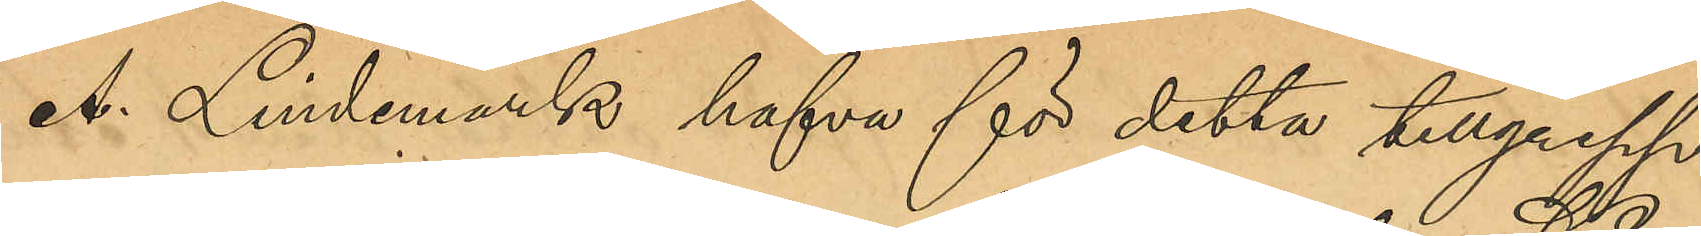A. Lindemark hafva för detta tillgrepp
